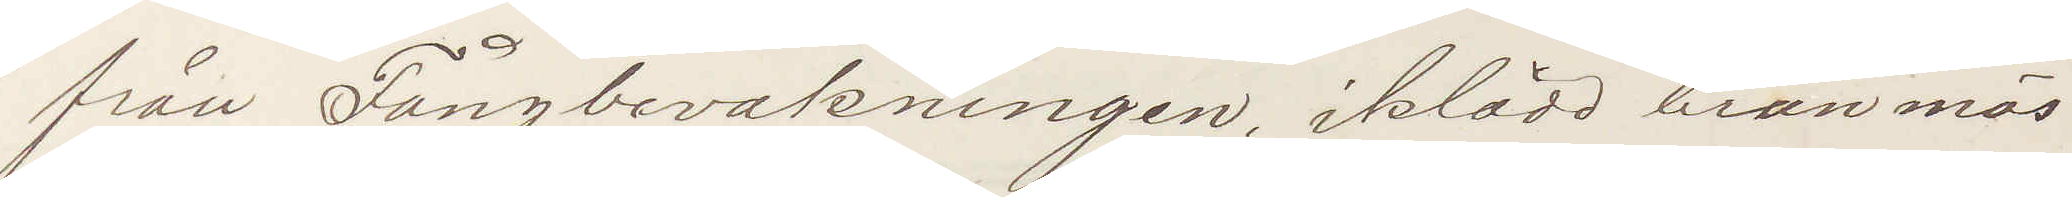från Fångbevakningen, iklädd brun mös¬
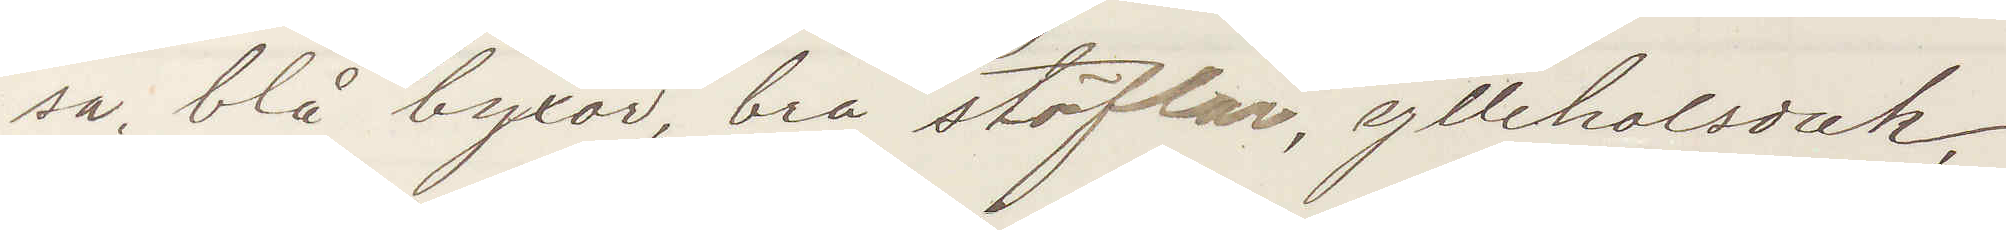sa, blå byxor, bra stöflar, yllehalsduk,
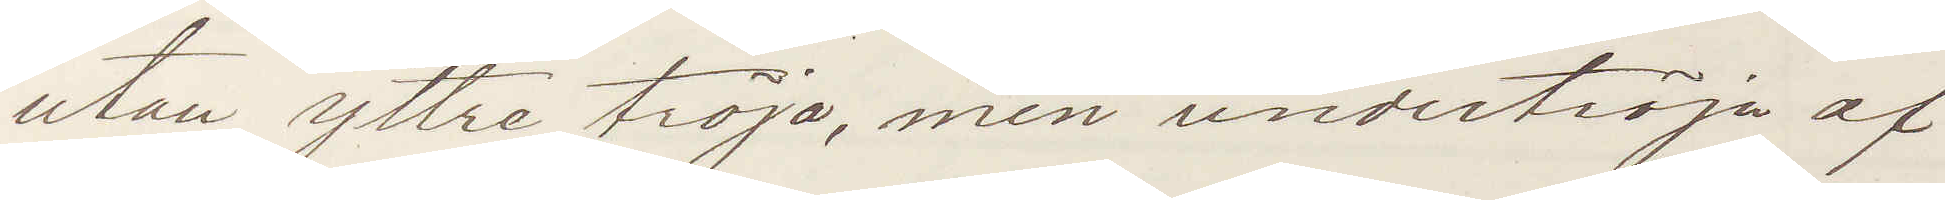utan yttre tröja, men undertröja af
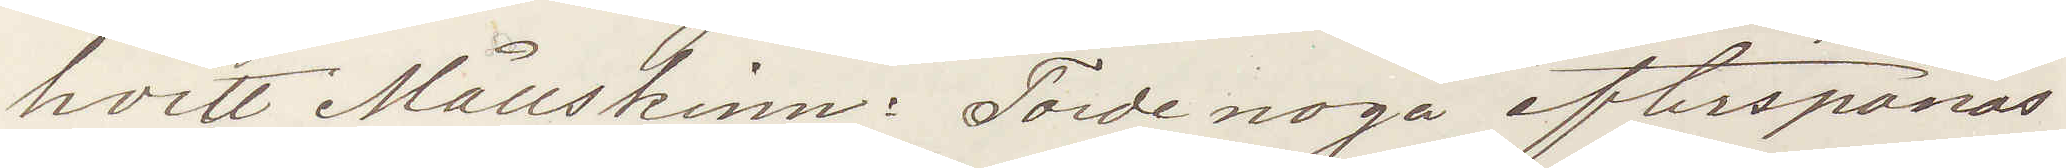hvitt Mållskinn. Torde noga efterspanas
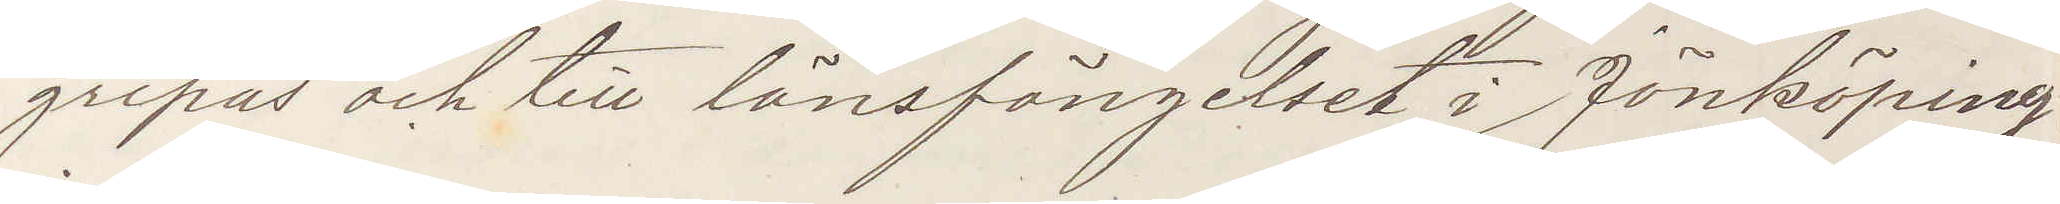gripas och till länsfängelset i Jönköping
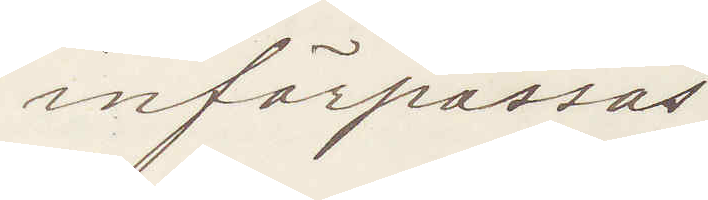införpassas.
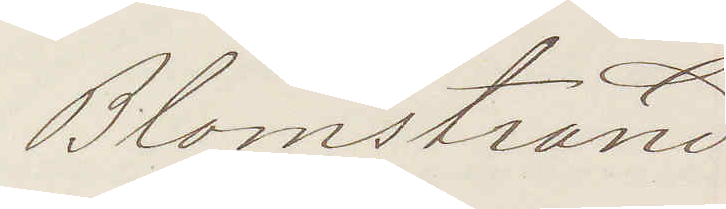Blomstrand
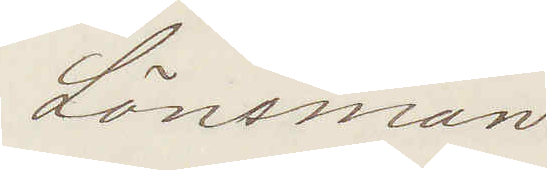Länsman.
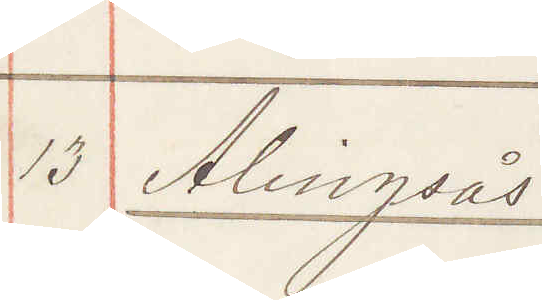13 Alingsås
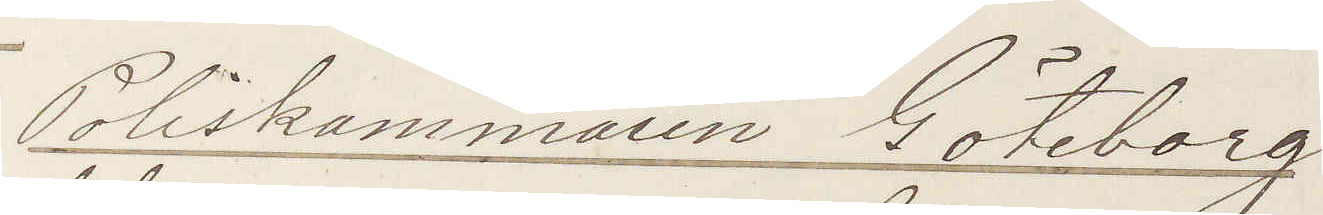Poliskammaren Göteborg
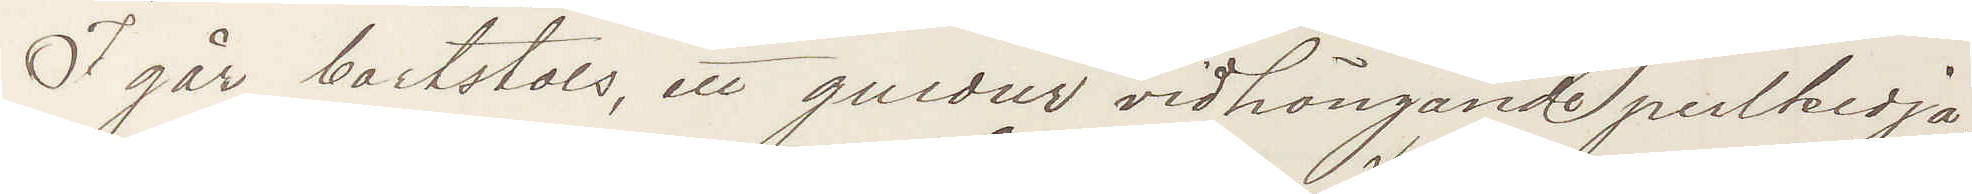Igår bortstals, ett guldur vidhängande perlkedja,
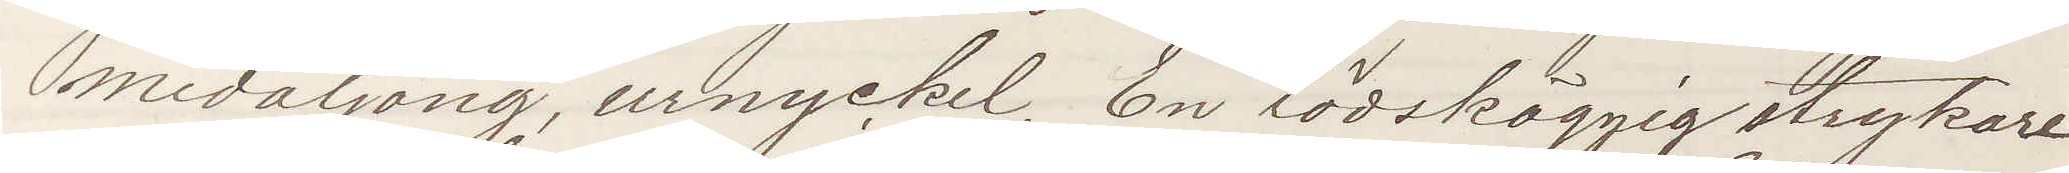medaljong, urnyckel, En rödskäggig strykare
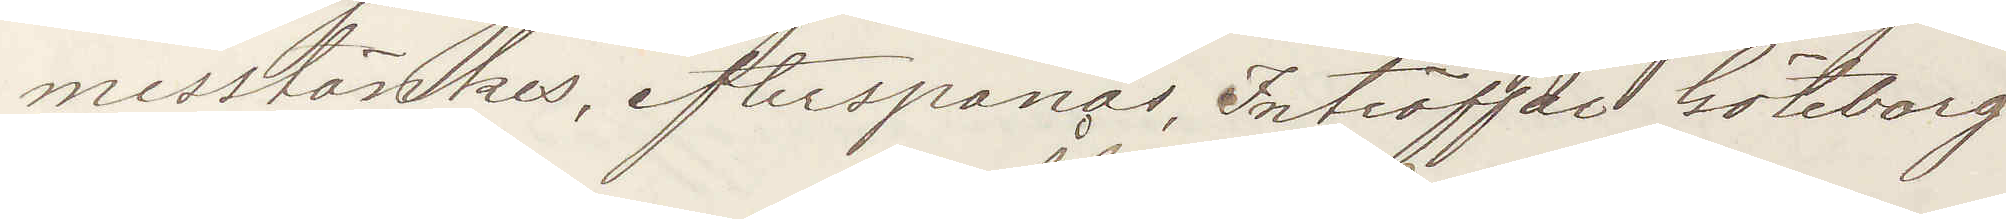misstänkes, efterspanas, Inträffar Göteborg
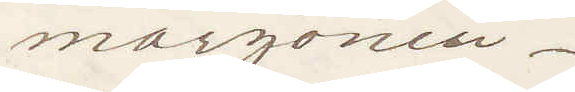morgonen.
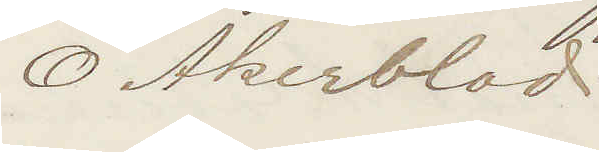O Åkerblad.
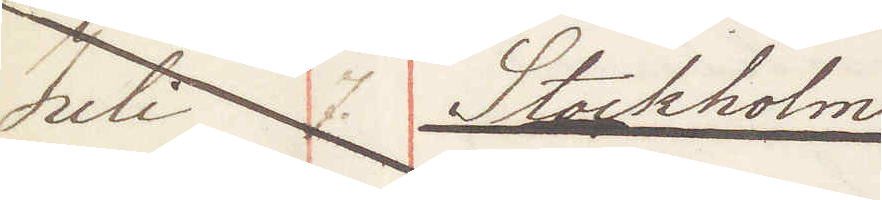Juli 7. Stockholm
